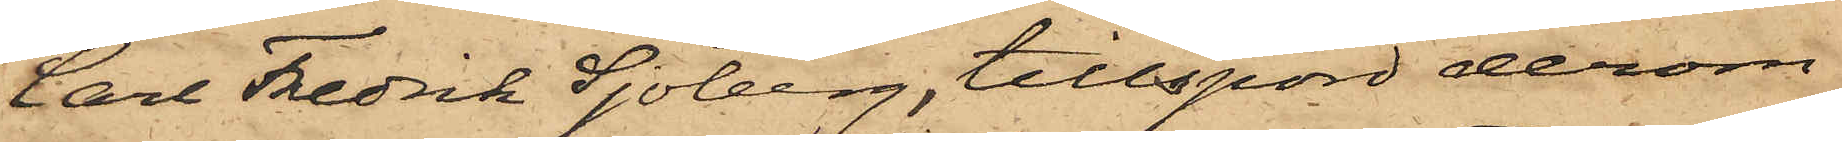Carl Fredrik Sjöberg, tillspord derom
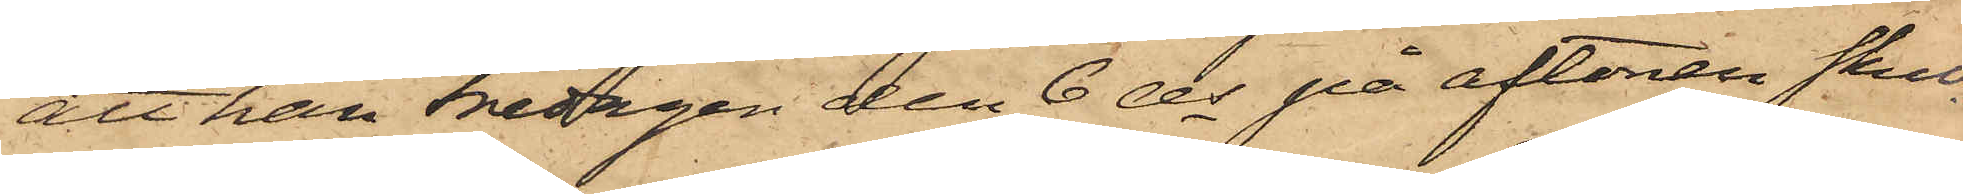att han Fredagen den 6 ds på aftonen skul¬
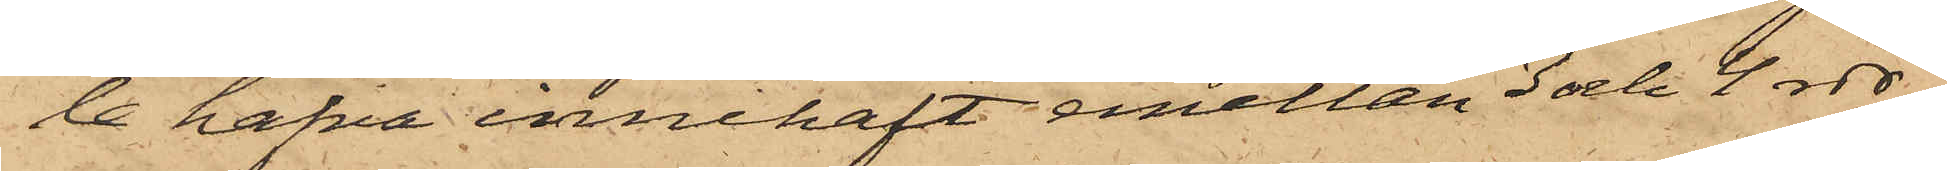le hafva innehaft emellan 3 och 4 rdr,
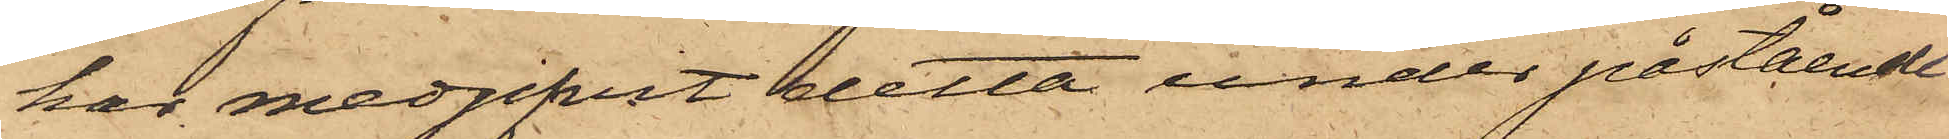har medgifvit detta under påstående
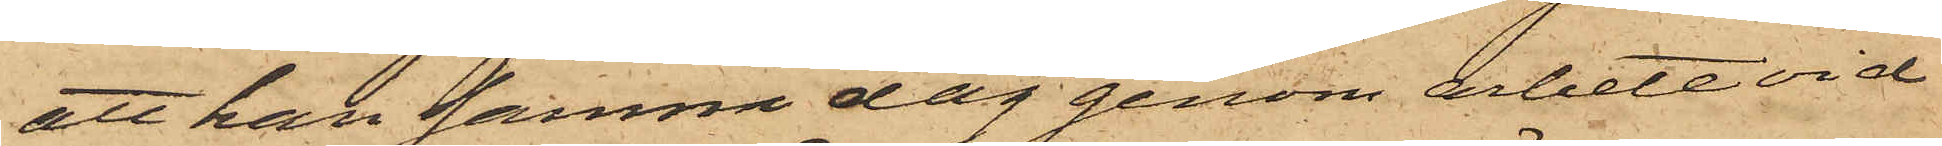att han samma dag genom arbete vid
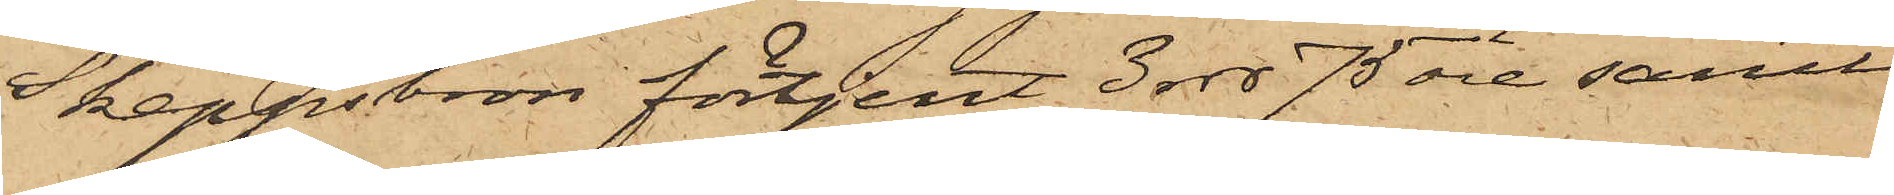Skeppsbron förtjent 3 rdr 75 öre samt
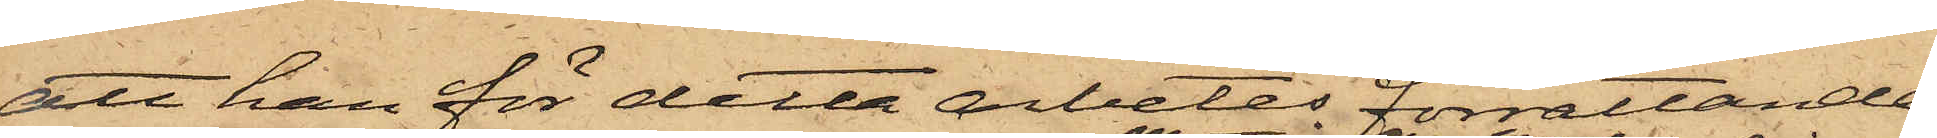att han för detta arbetes förrättande
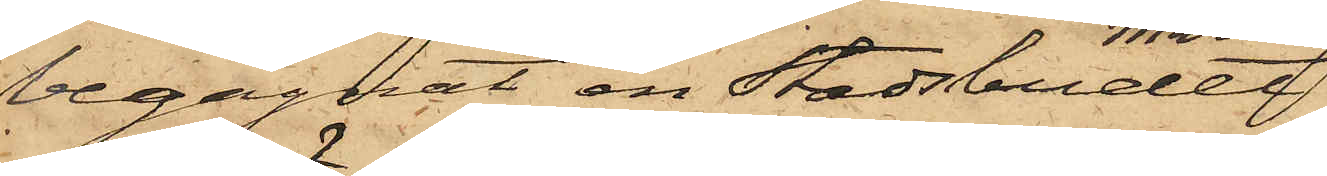begagnat en Stadsbudet
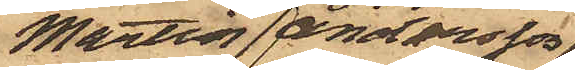Martin Andersson
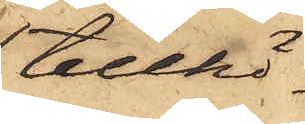tillhö¬
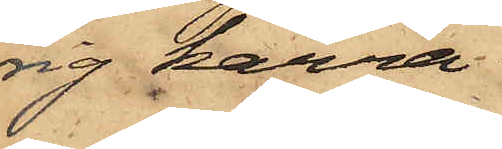rig kärra.
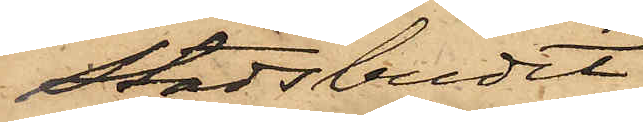Stadsbudet
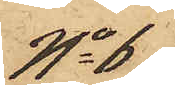No 6
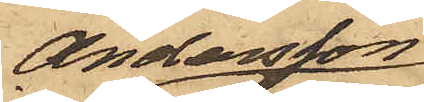Andersson,
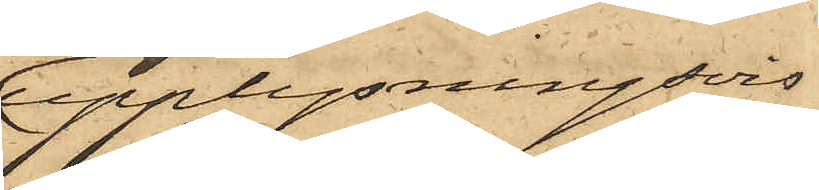upplysningsvis
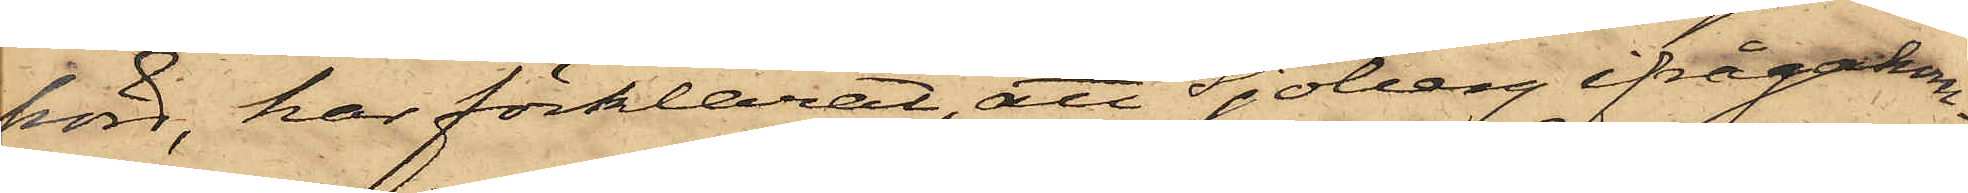hörd, har förklarat, att Sjöberg ifrågakom¬
